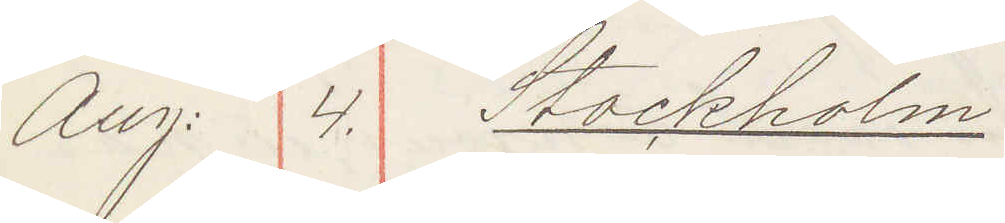Aug: 4. Stockholm:
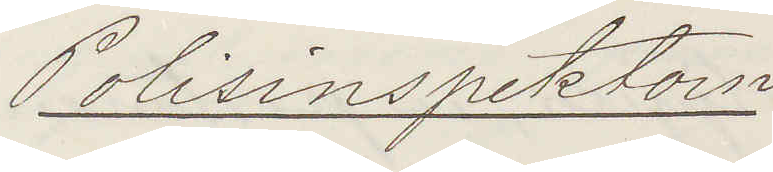Polisinspektorn
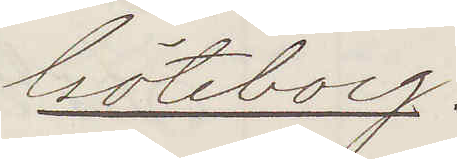Göteborg.
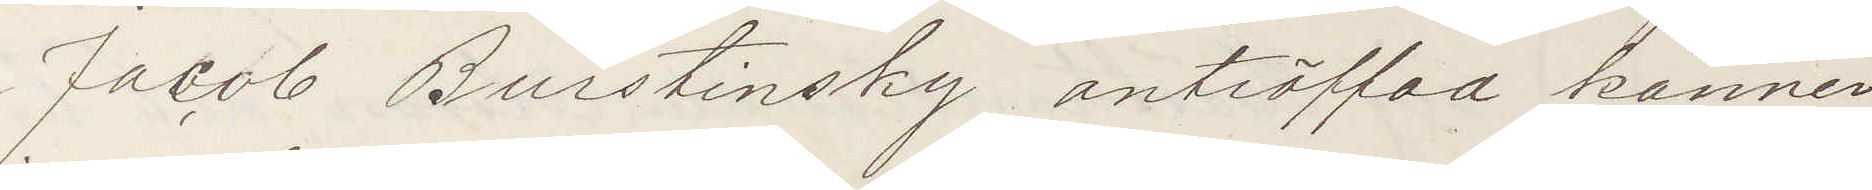Jacob Burstinsky anträffad känner
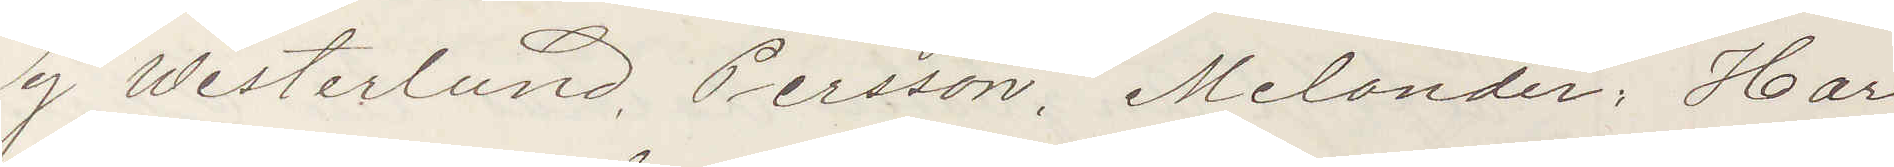ej Westerlund, Persson, Melander. Har
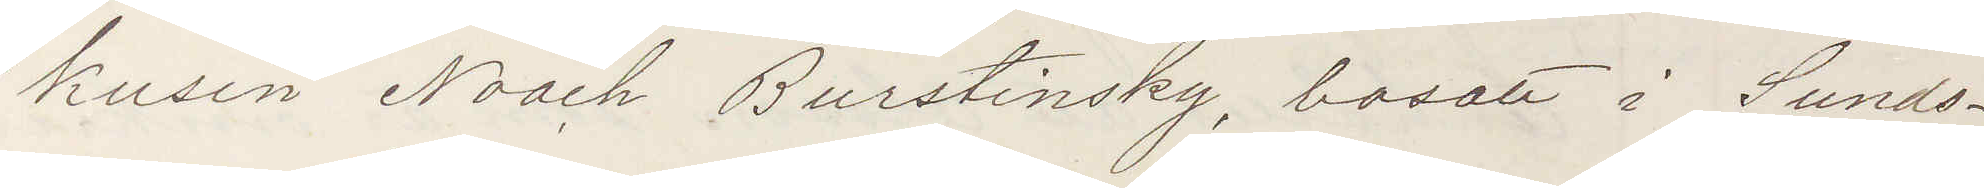kusin Noak Burstinsky, bosatt i Sunds¬
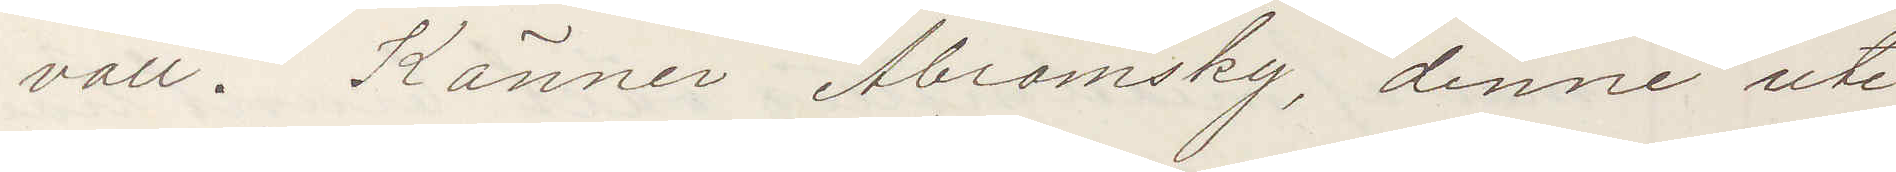vall. Känner Abromsky, denne ute
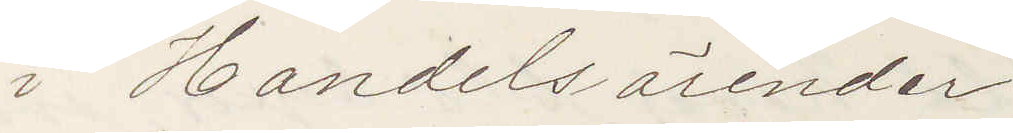i Handelsärender.
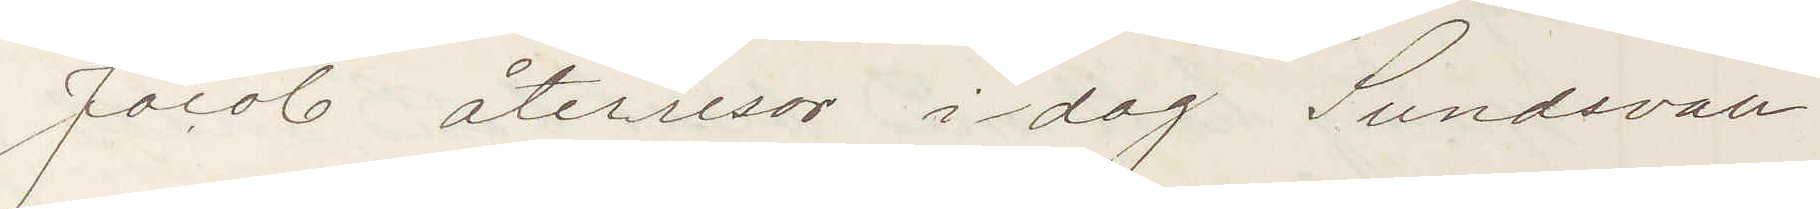Jacob återreser i dag Sundsvall.
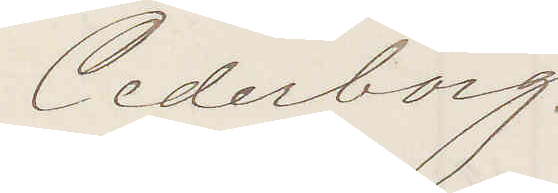Cederborg.
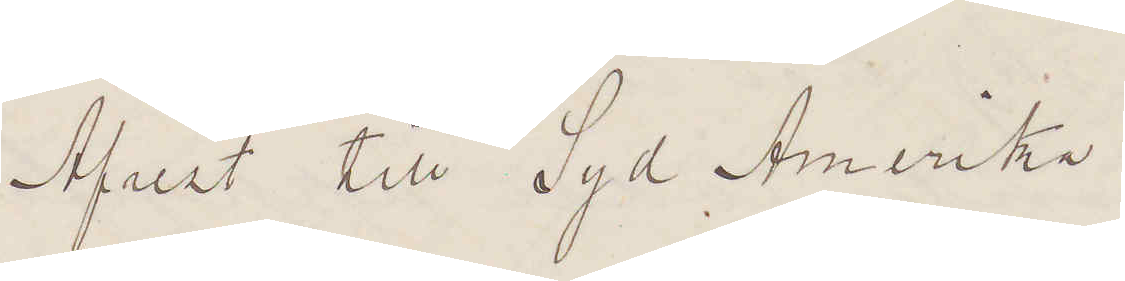Afrest till Syd Amerika.
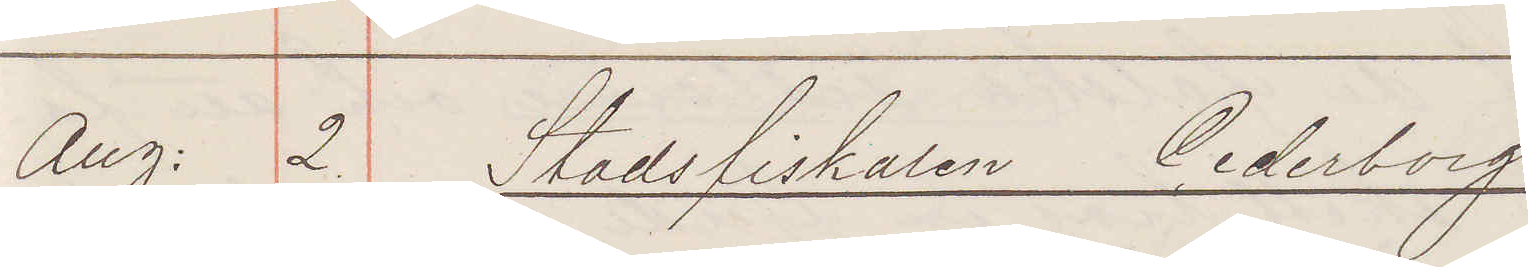Aug: 2. Stadsfisklen Cederborg.
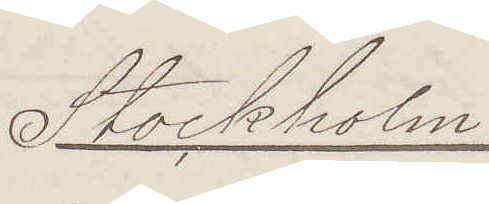Stockholm.
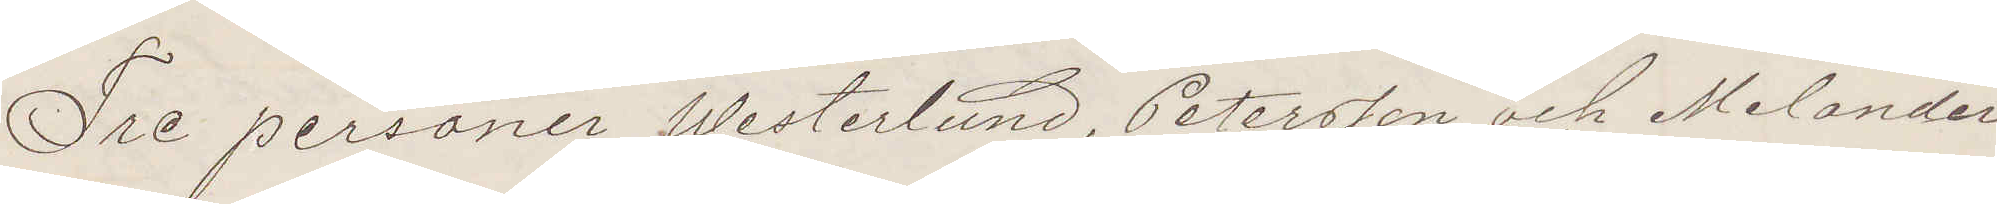Tre personer Westerlund, Petersson och Melander
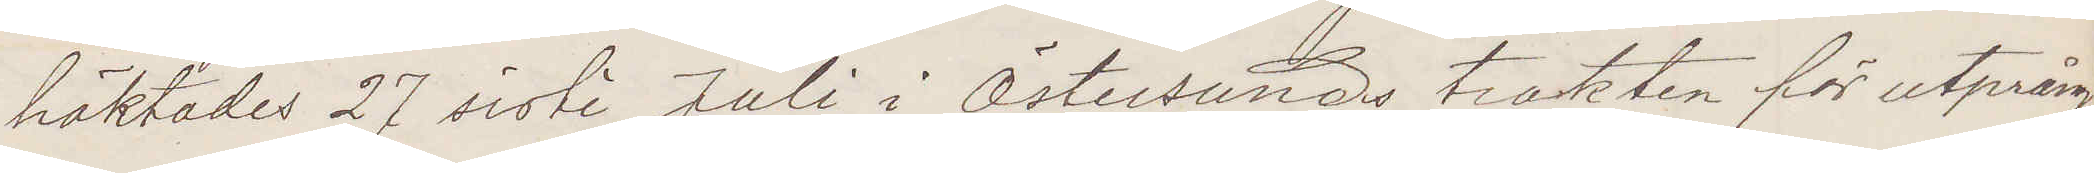häktades 27 sistl Juli i Östersunds trakten för utprång¬
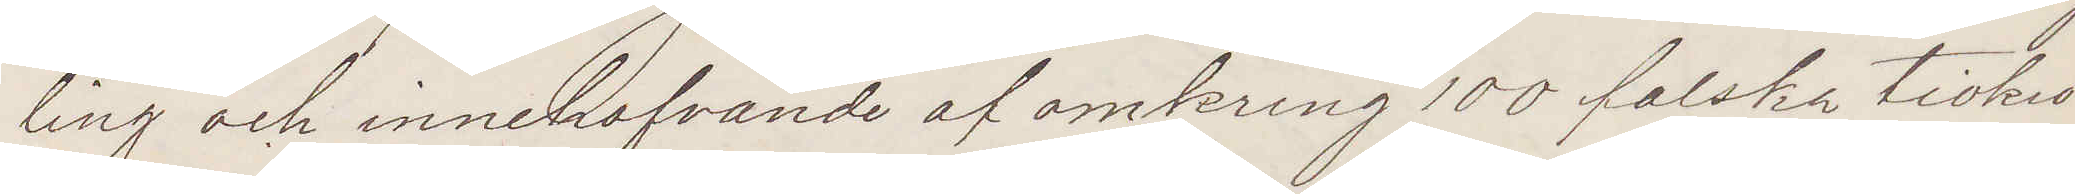ling ovh innehafvande af omkring 100 falska tiokro¬
